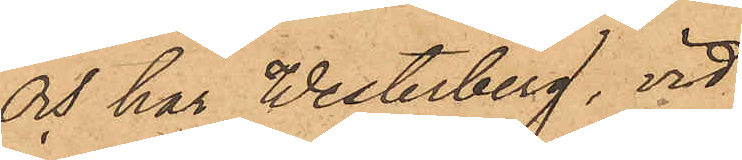och har Westerberg, vid
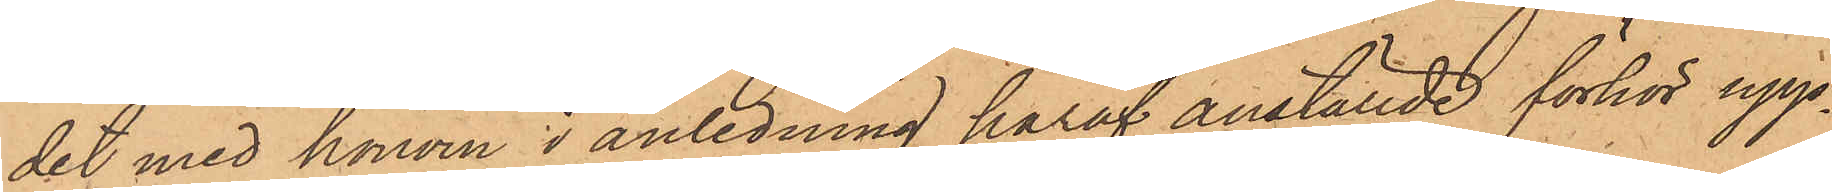det med honom i anledning häraf anställde förhör upp¬
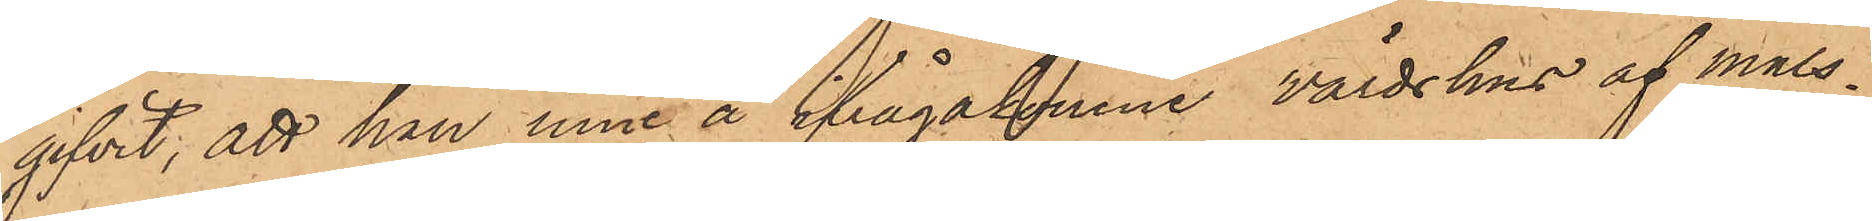gifvit, att han inne å ifrågakomne värdshus af måls¬
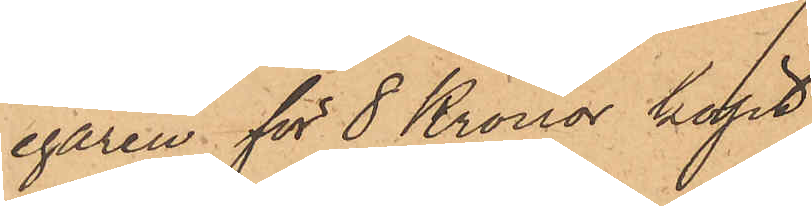egaren för 8 Kronor köpt
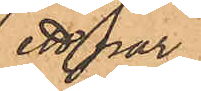ett par
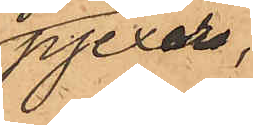pjexor,
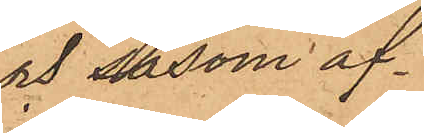och såsom af¬
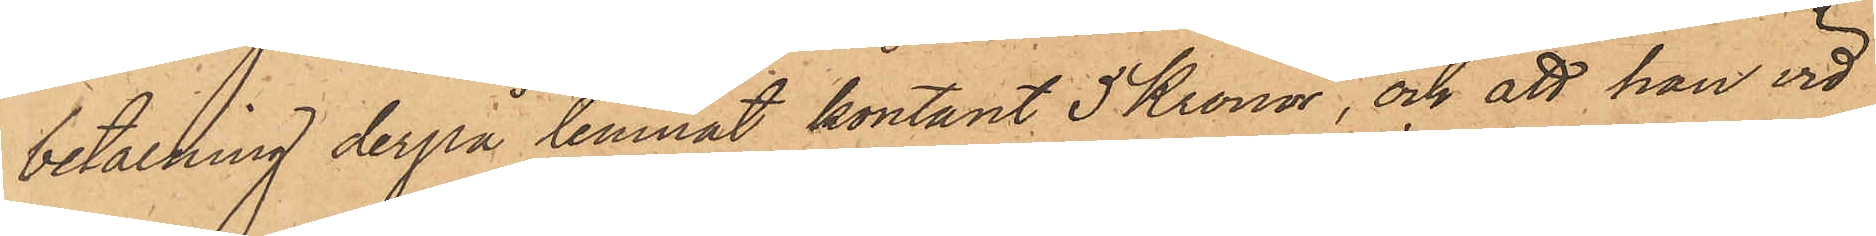betalning derpå lemnat kontant 5 Kronor, och att han vid
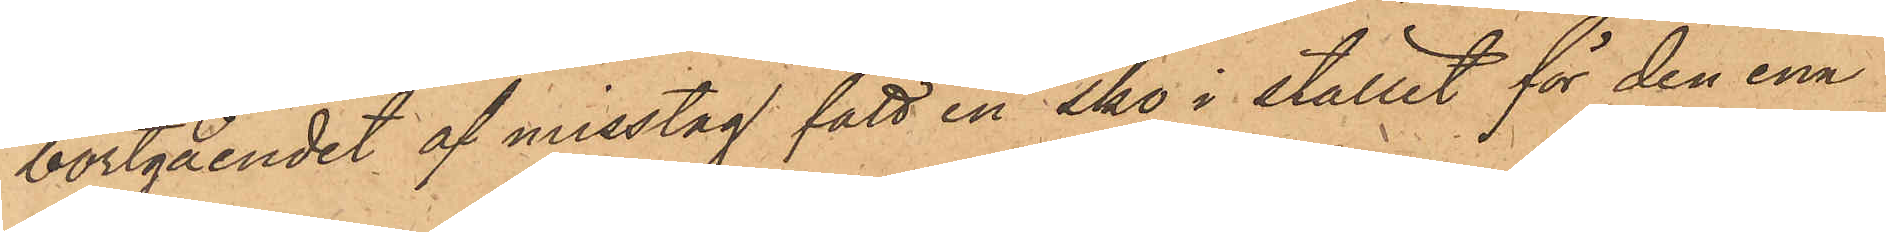bortgåendet af misstag fått en sko i stället för den ena
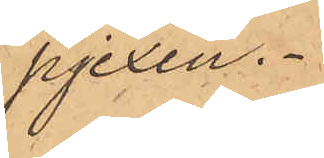pjexan.
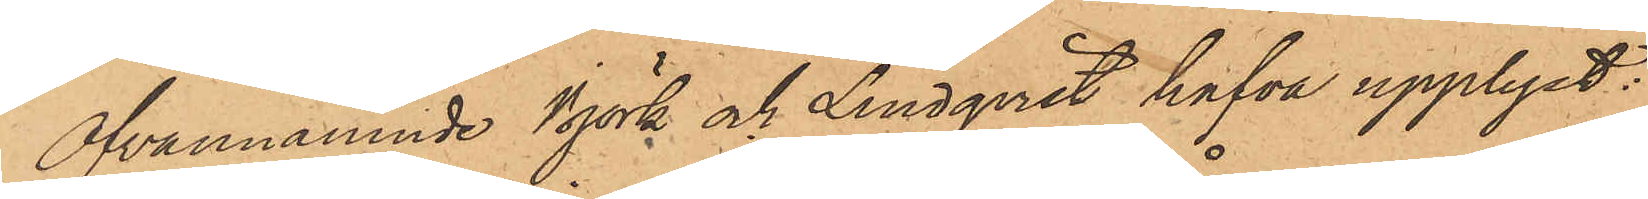Ofvannämnde Björk och Lindqvist hafva upplyst:
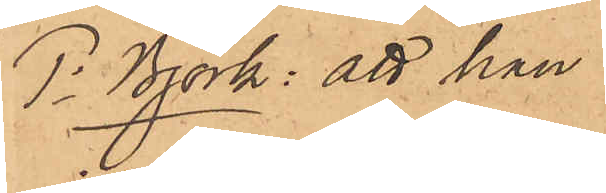1o Björk: att han
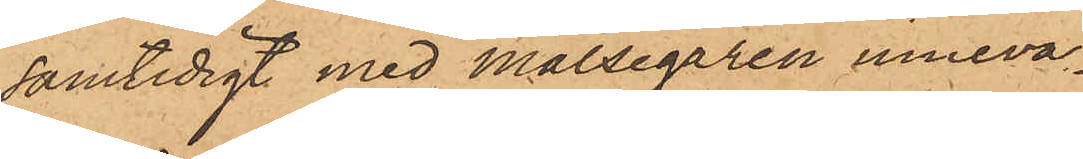samtidigt med Målsegaren inneva¬
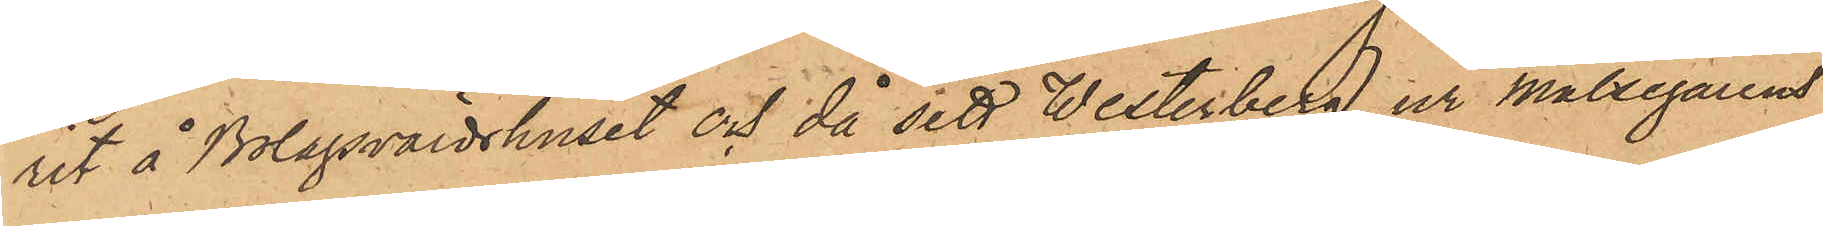rit å Bolagsvärdshuset och då sett Westerberg ur målsegarens
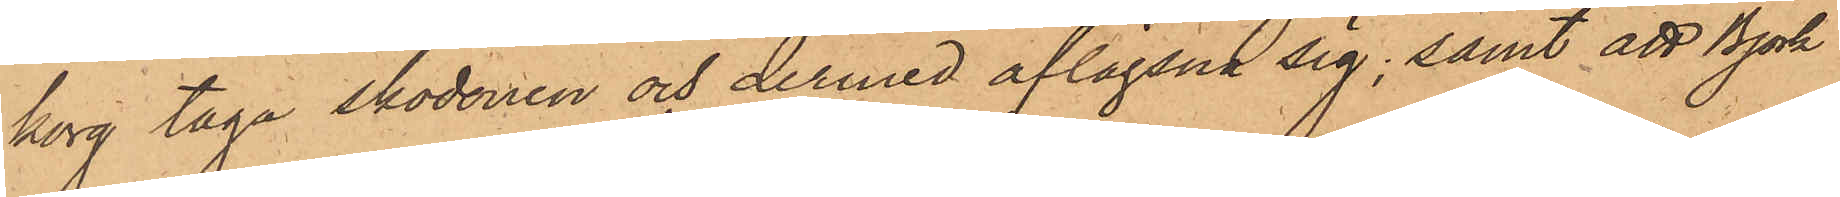korg taga skodonen och dermed aflägsna sig; samt att Björk
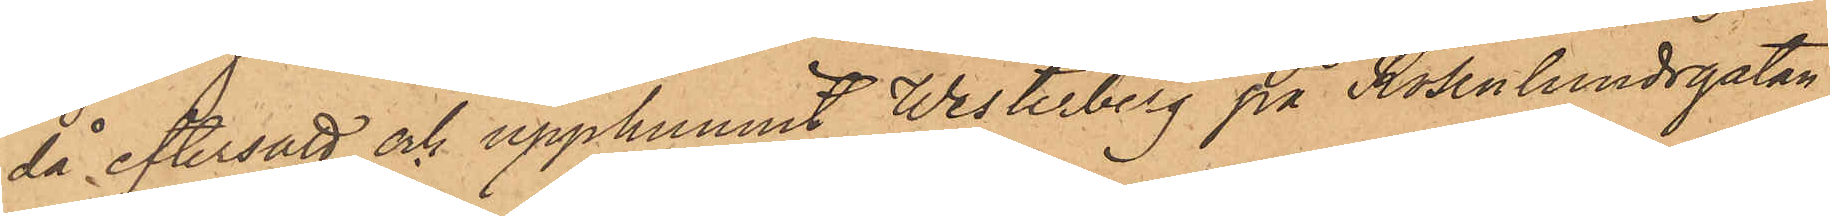då eftersatt och upphunnit Westerberg på Rosenlundsgatan,
